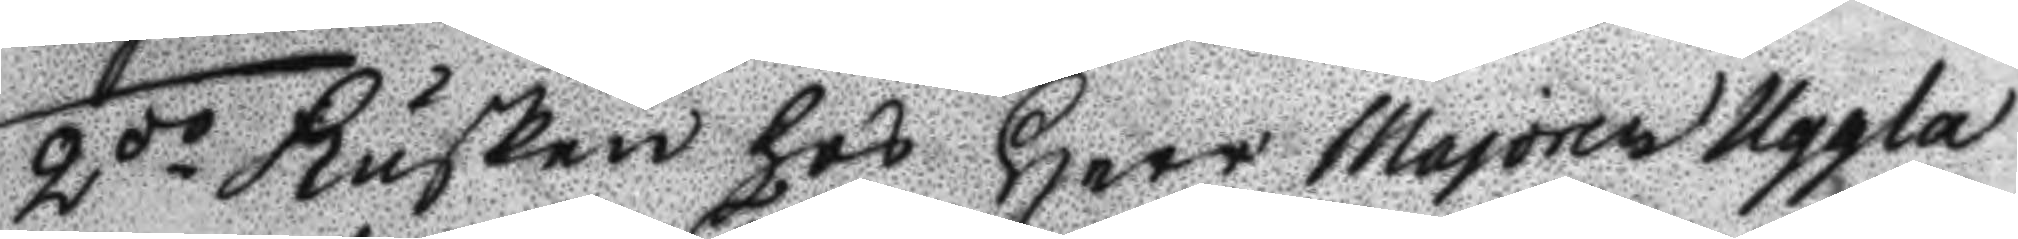2do Kusken hos Herr majoren Uggla
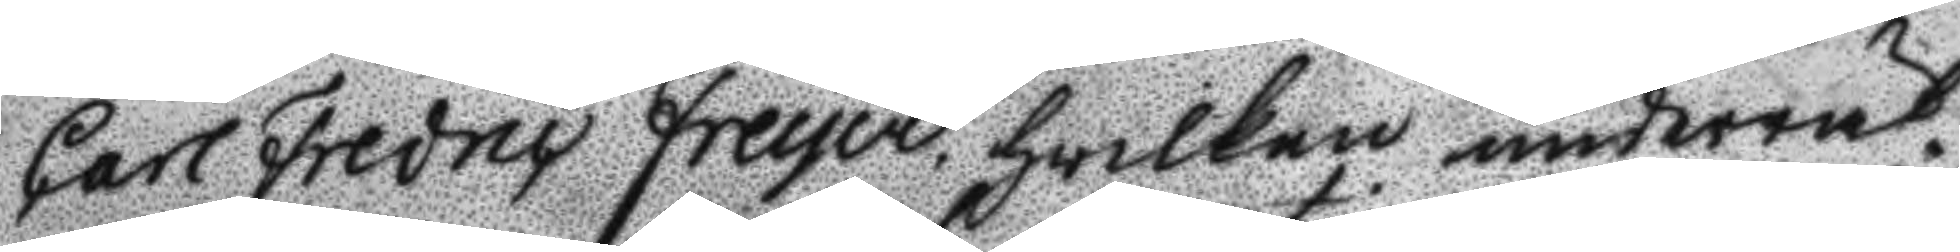Carl Fredric Freyer hwilken underrät¬
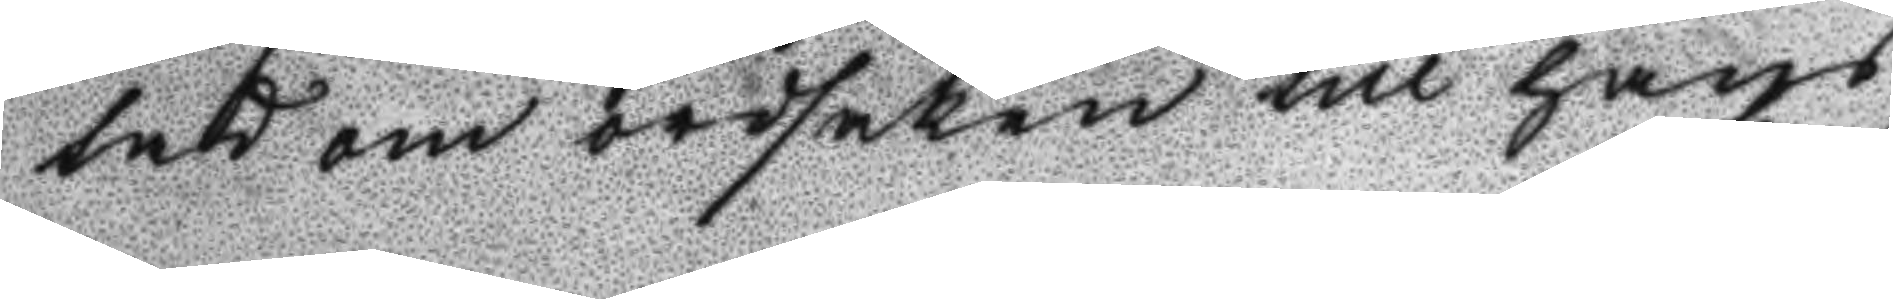tad om ordsaken till hans
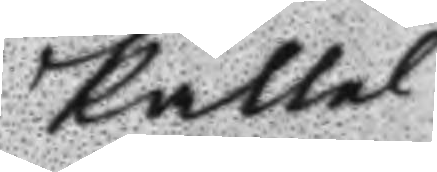Kallel
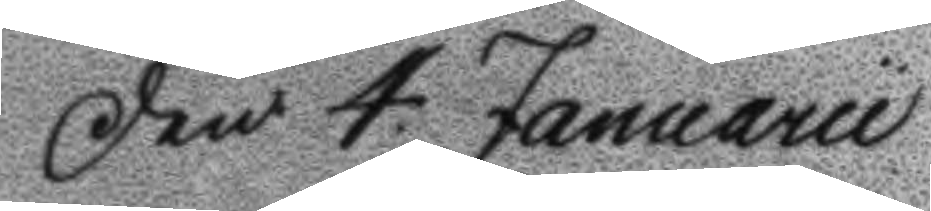Den 4 Januarii
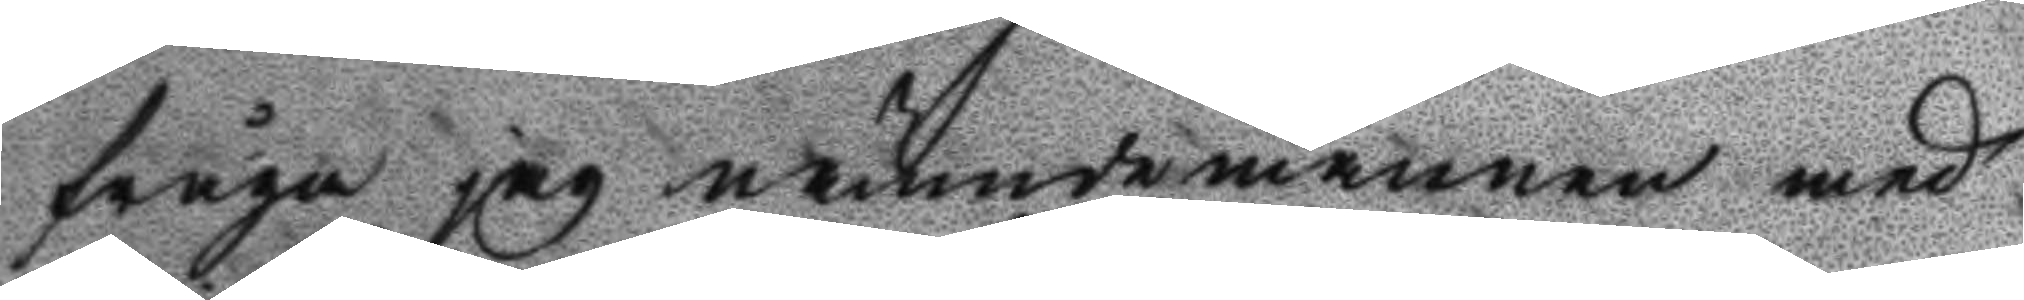fråga jag nämndemannen med
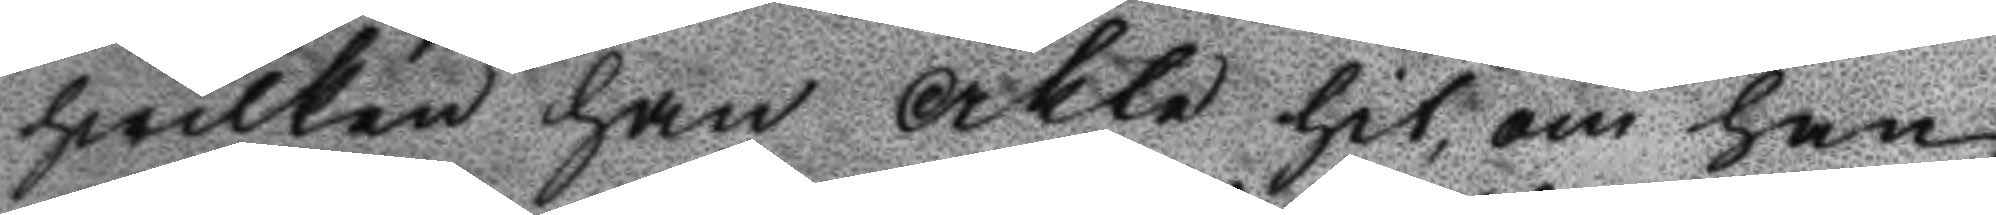hwilken han åkte hit, om han
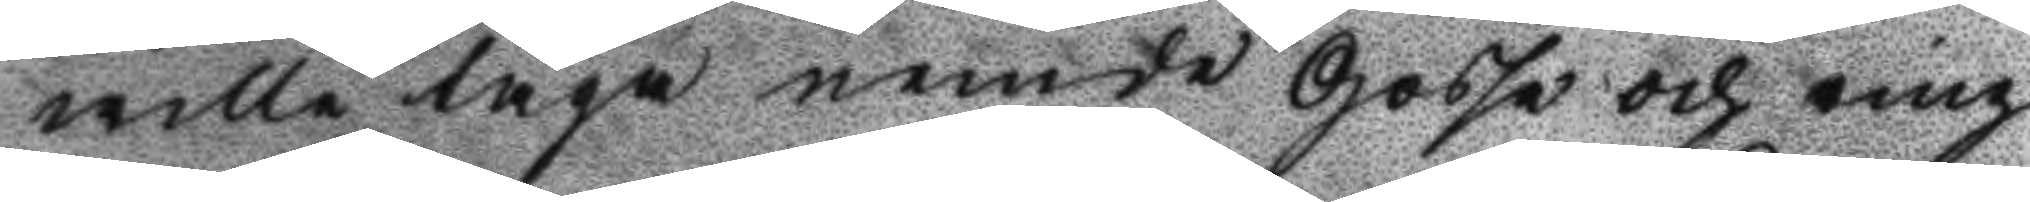wille taga nemde Gosse och mig
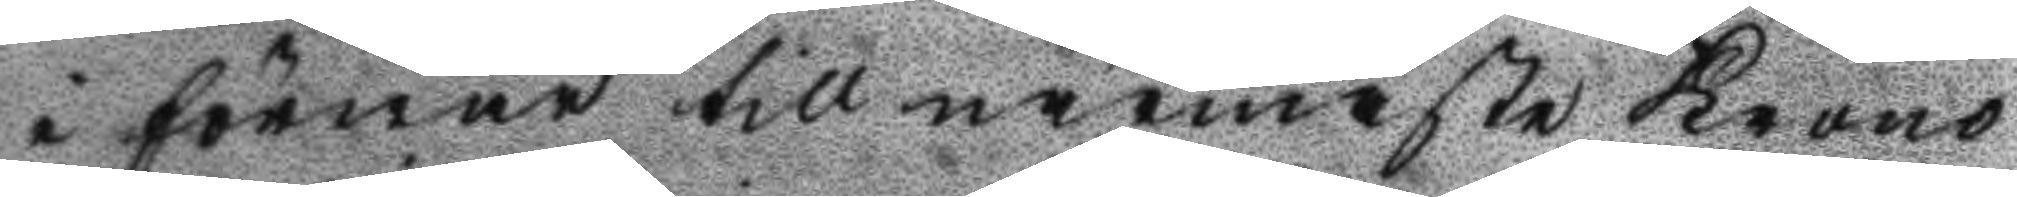i förwar till närmaste Krono
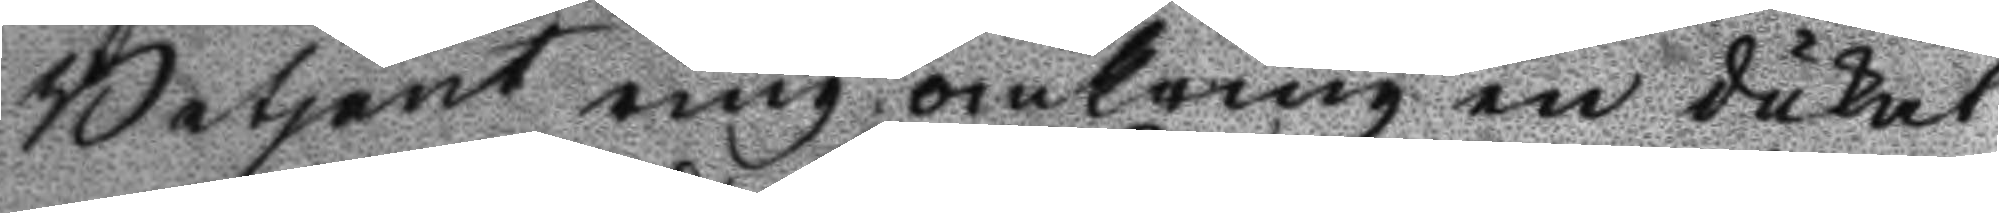Betjent ring omkring en dukat
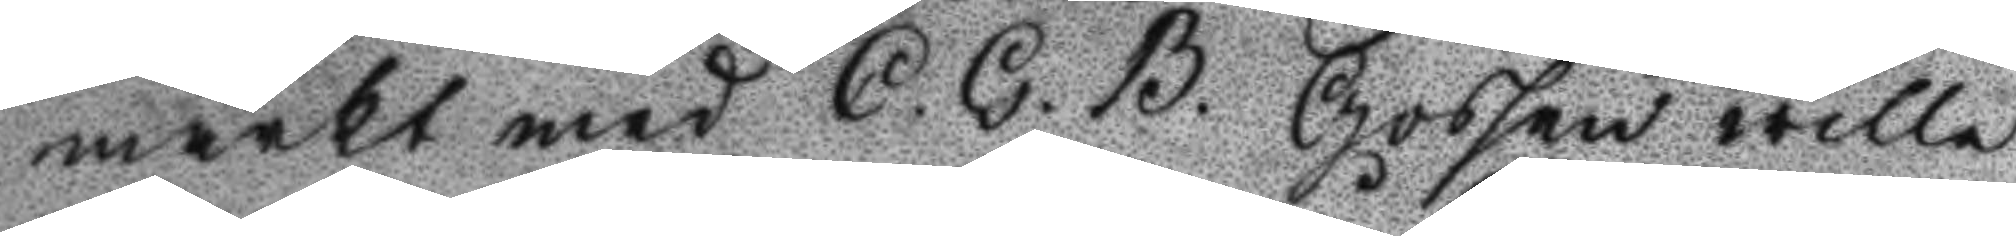märkt med C. G. B. Gossen wille
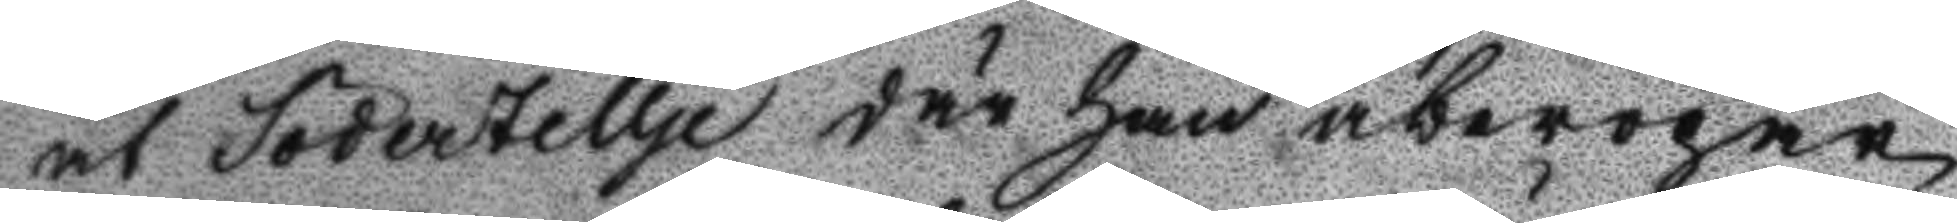åt Södertellje där han åberopar
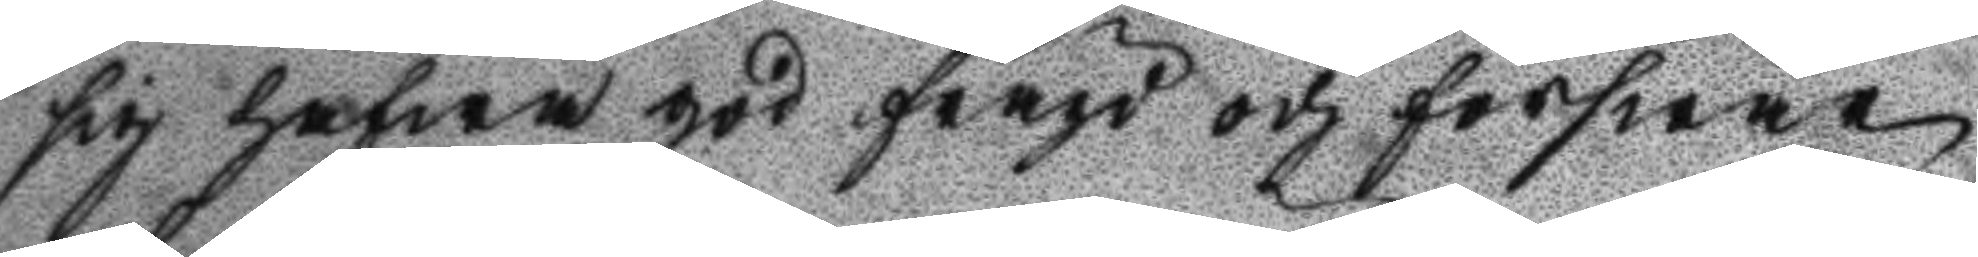sig hafwa god fräjd och förswar
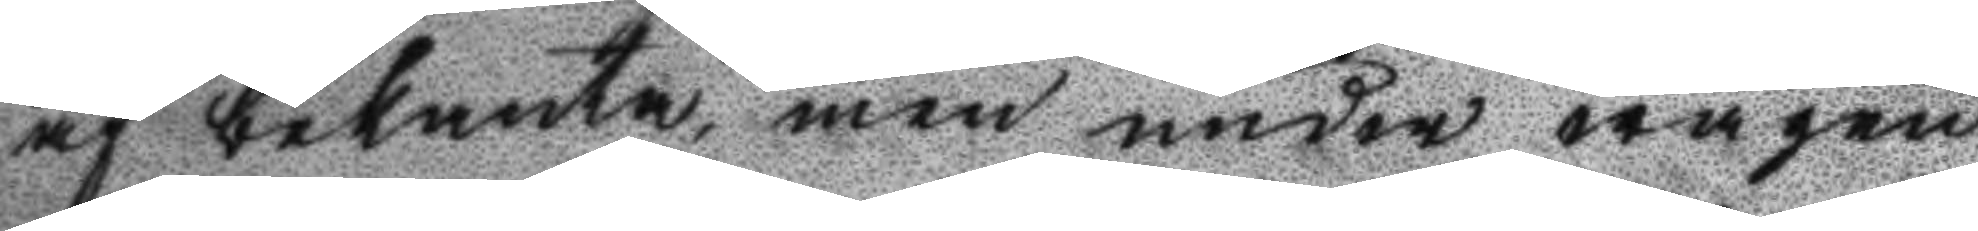af bekanta, men under wägen
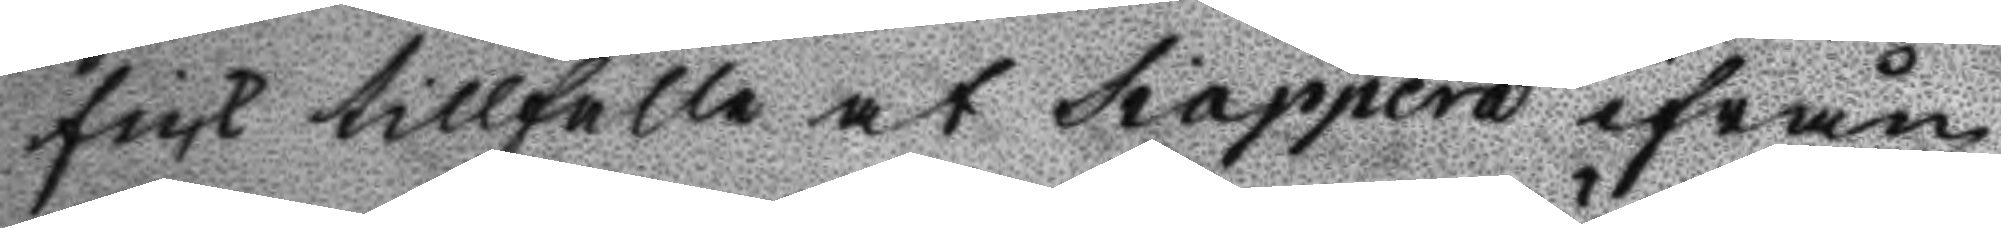fick tillfälle at Siappera ifrån
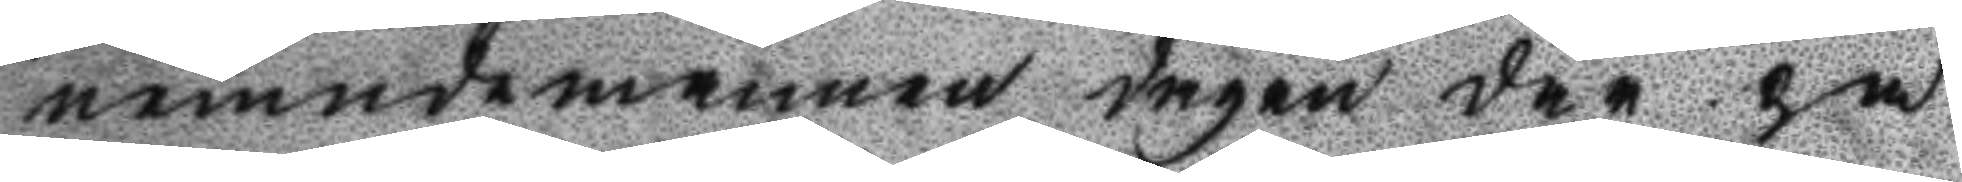nemndemannen dagen där på
